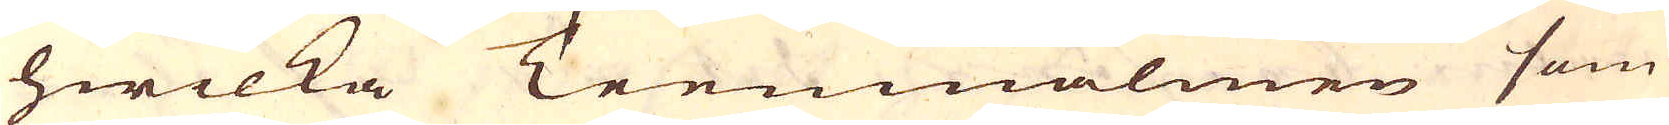hwilka Teemmalmen som
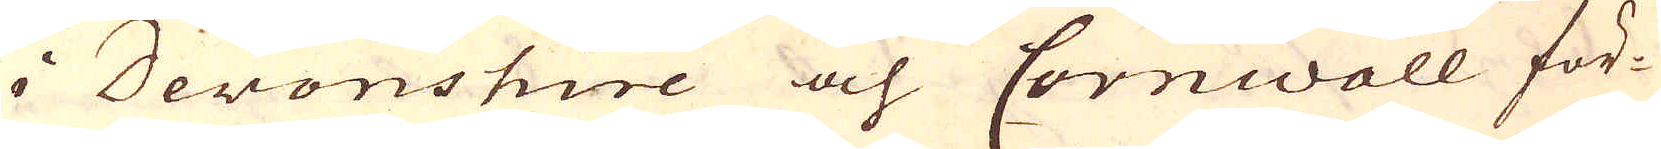i Devonshire och Cornwall för-
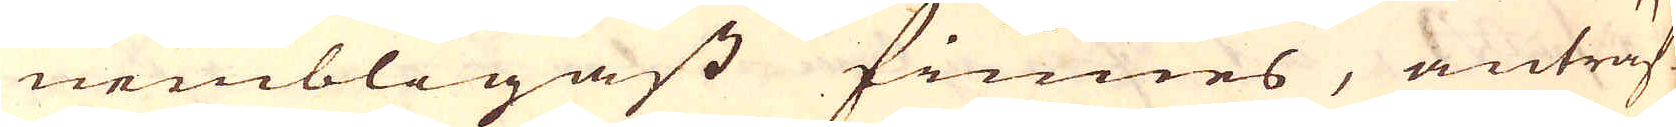nembligast finnes, anträf-
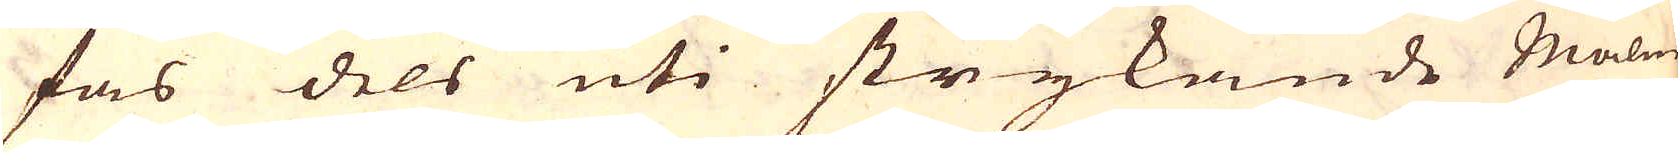fas dels uti strykande Malm-
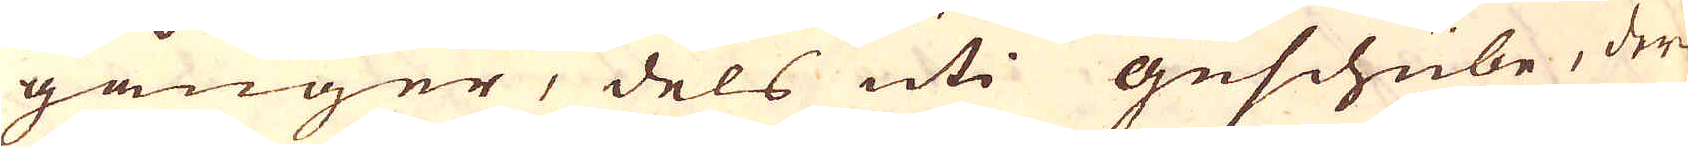gånger, dels uti guschübe, der-
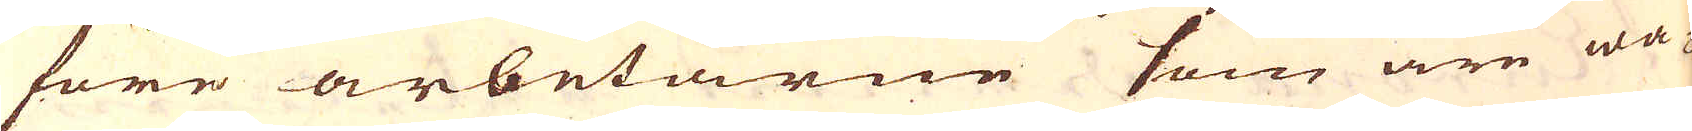före arbetarne som äre wa-
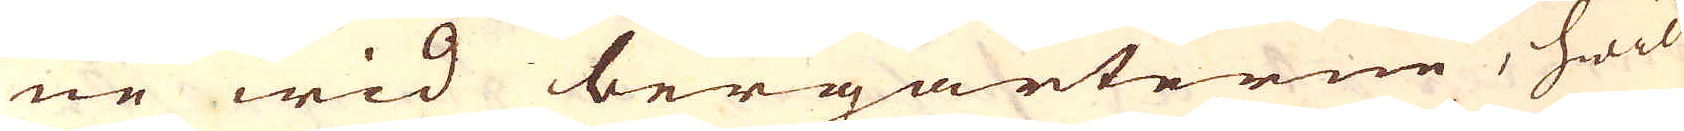ne wid bergarterne, hwil-
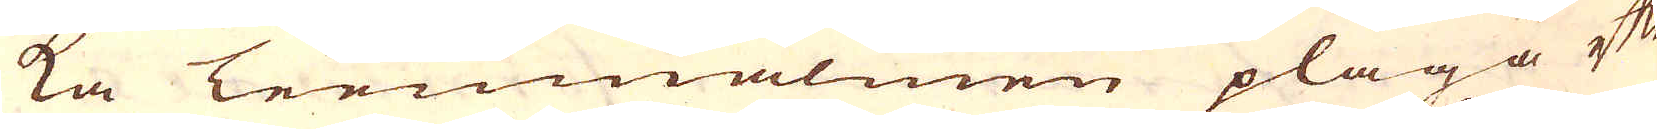ka Teenmalmen pläga efter
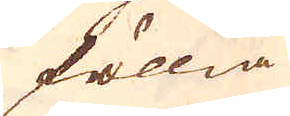föllia
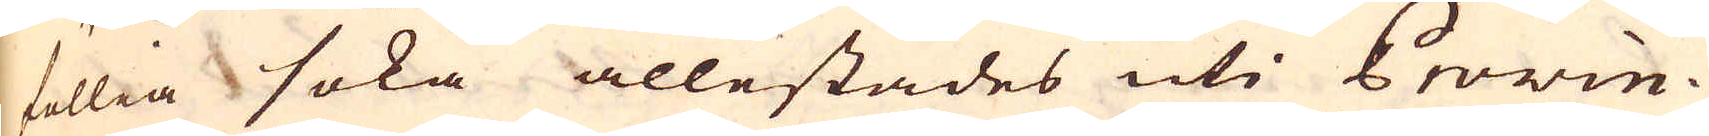föllia söka allestädes uti Provin-
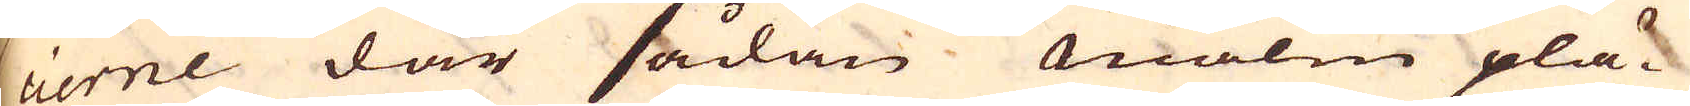cierne där sådan malm plä-
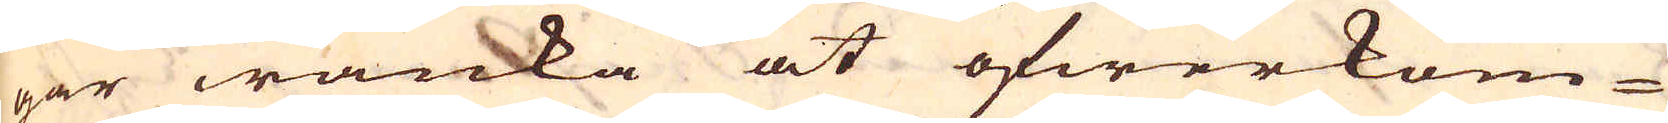gar wanka at öfwerkom-
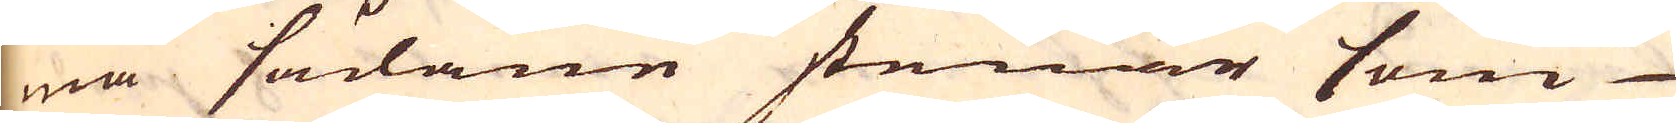ma sådane stenar som
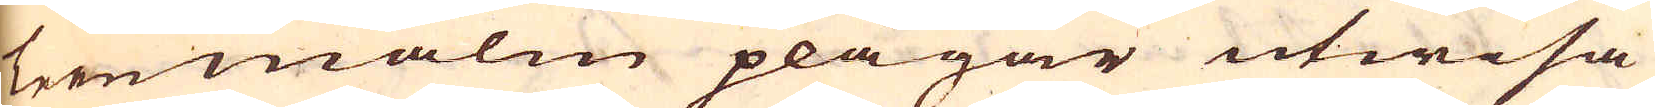teenmalm plägar utwisa
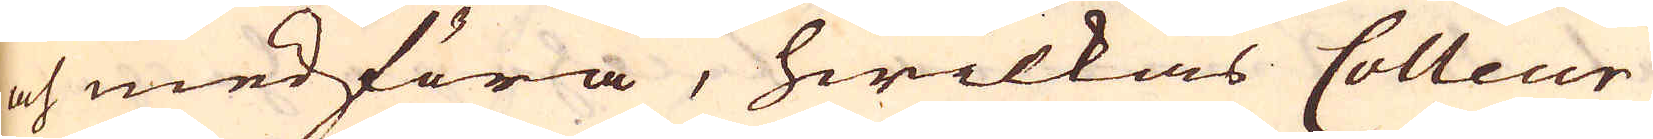och medföra, hwilkas Colleur
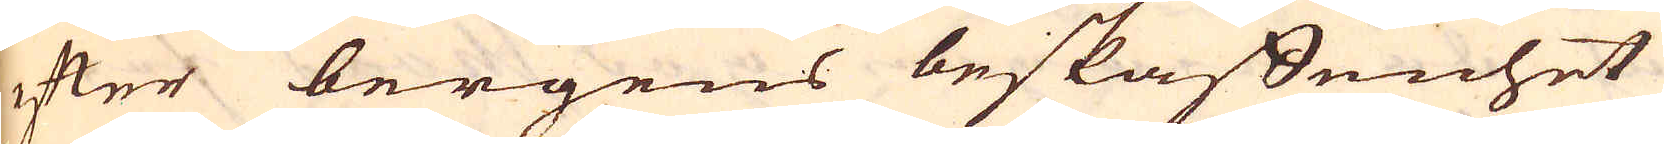efter bergens beskaffenhet
